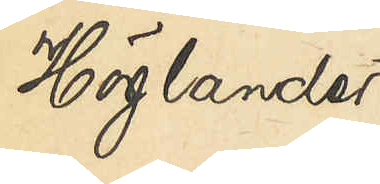Höglander
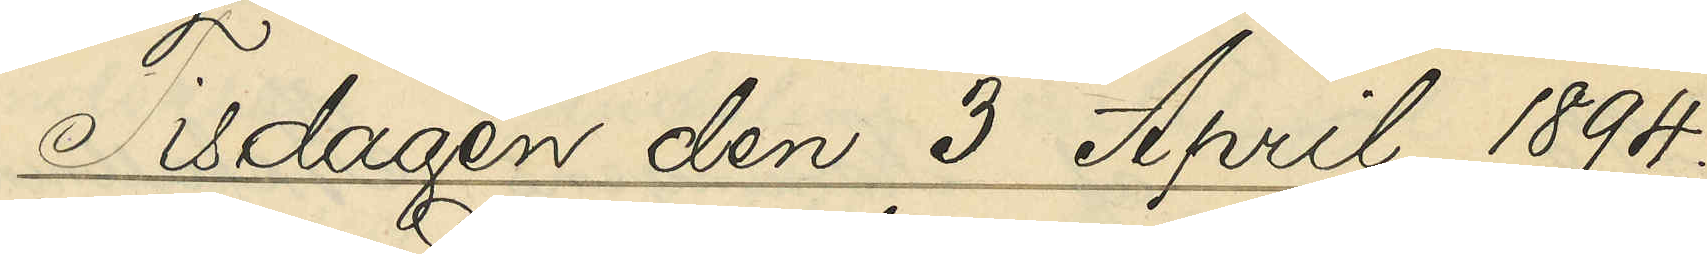Tisdagen den 3 April 1894.
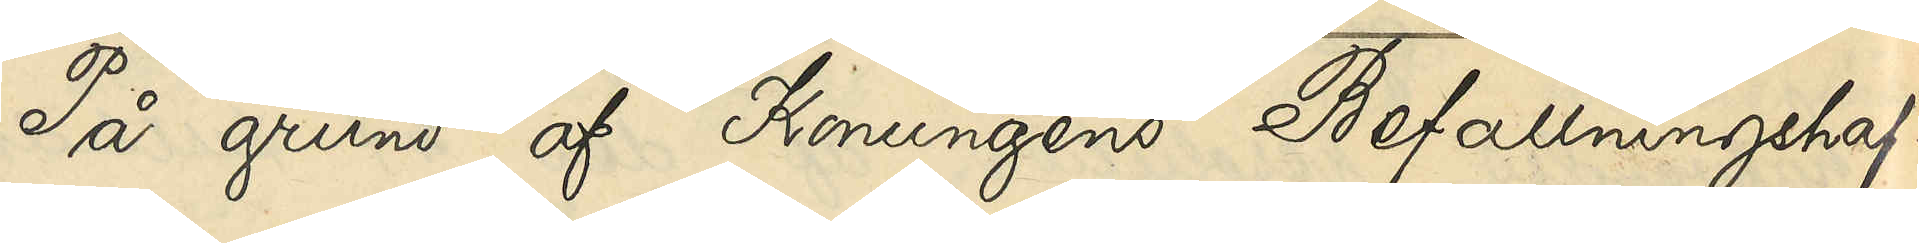På grund af Konungens Befallningshaf¬
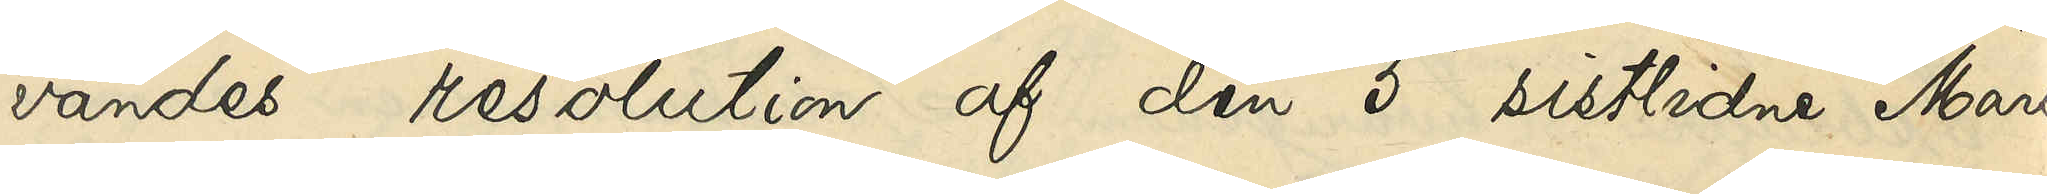vandes resolution af den 5 sistlidne Mars,
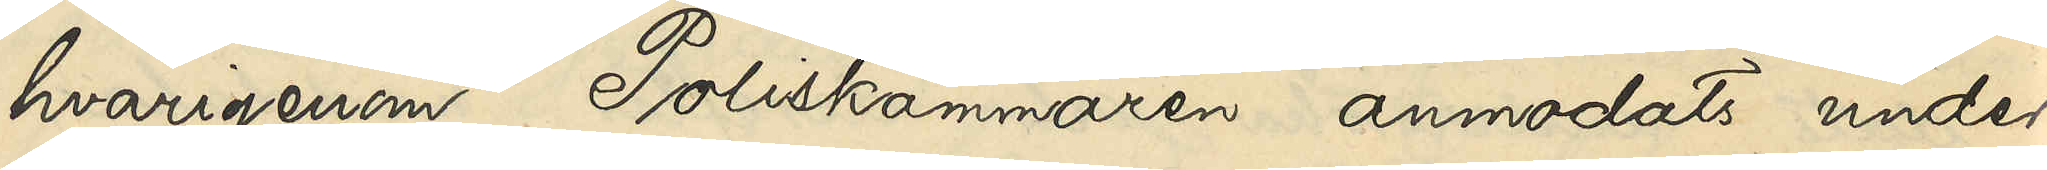hvarigenom Poliskammaren anmodats under¬
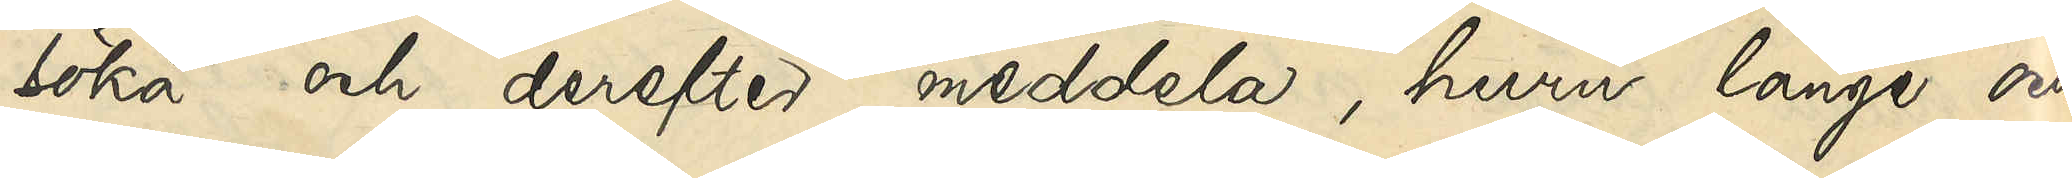söka och derefter meddela, huru länge och
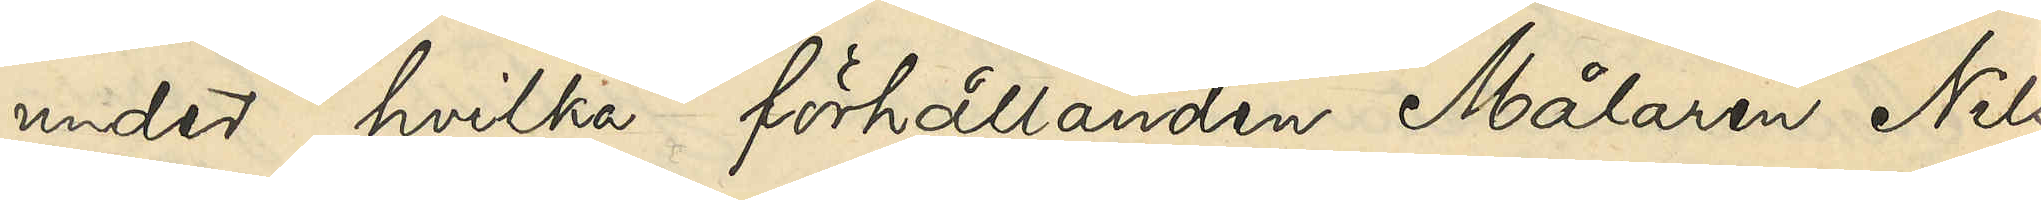under hvilka förhållanden Målaren Nils
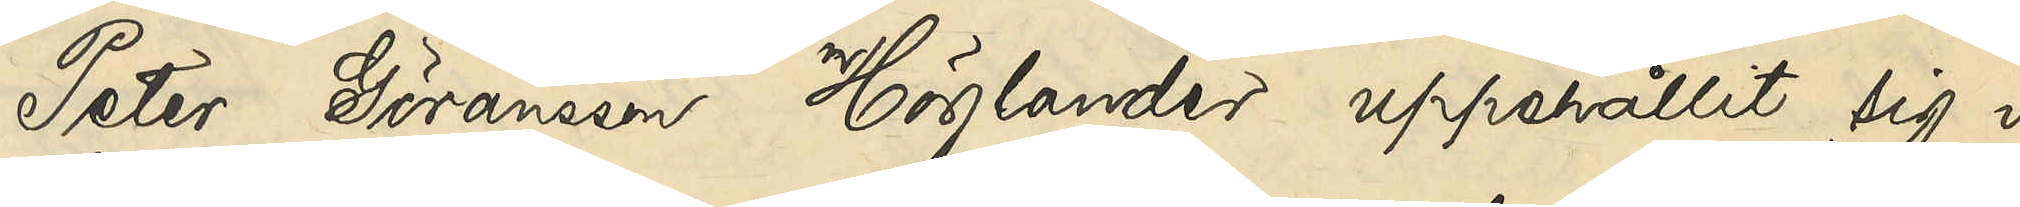Peter Göransson Höglander uppehållit sig i
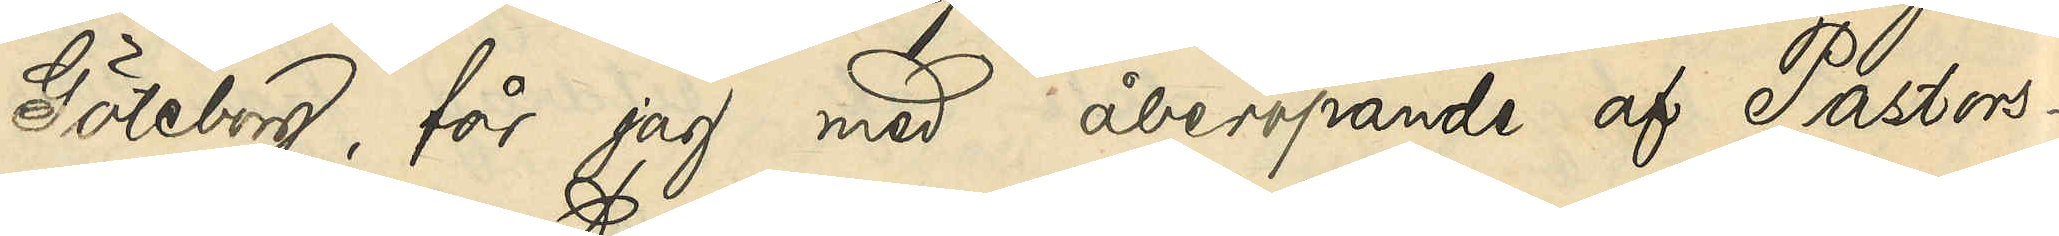Göteborg, får jag med åberopande af Pastors¬
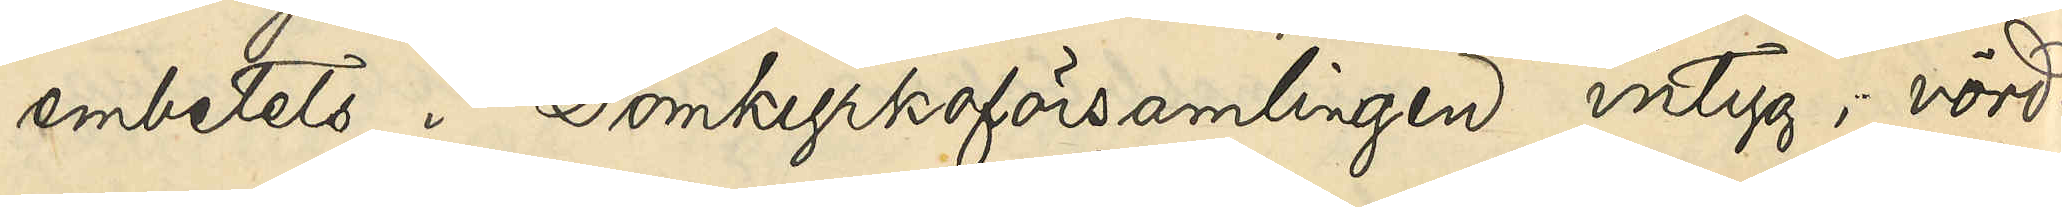embetets i Domkyrkoförsamlingen intyg, vörd¬
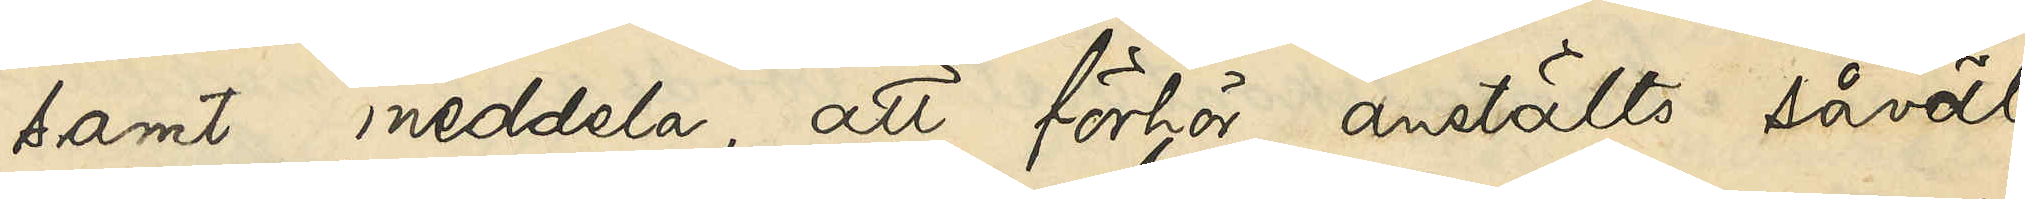samt meddela att förhör anstälts såväl
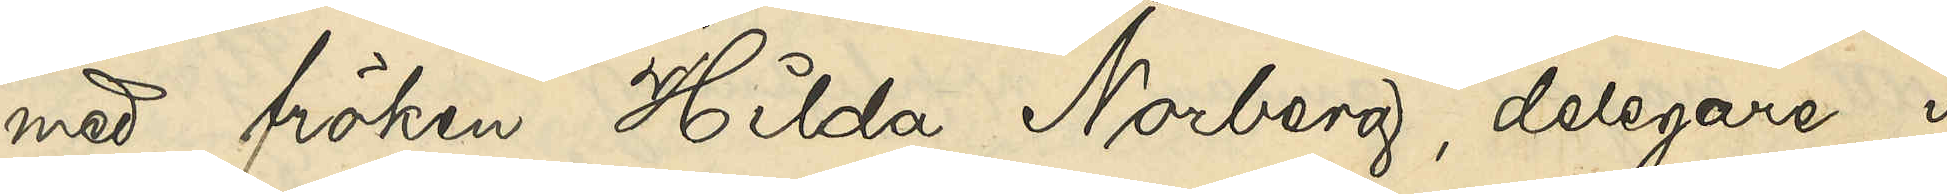med fröken Hilda Norberg, delegare i
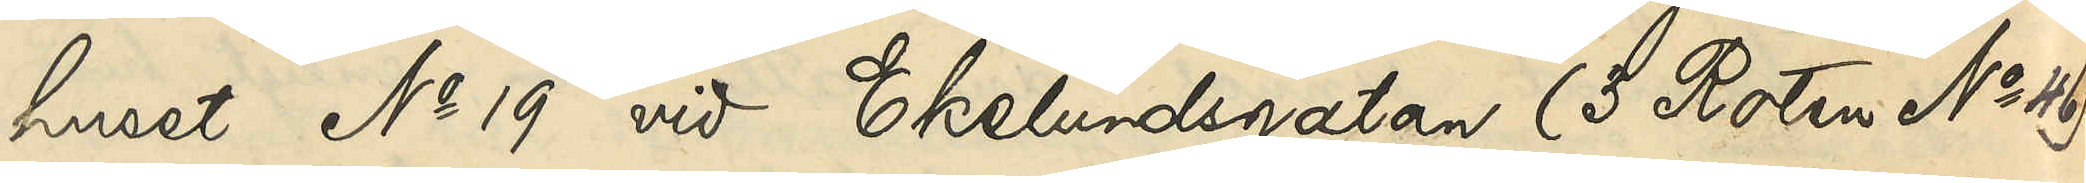huset No 19 vid Ekelundsgatan (3 Roten No 46)
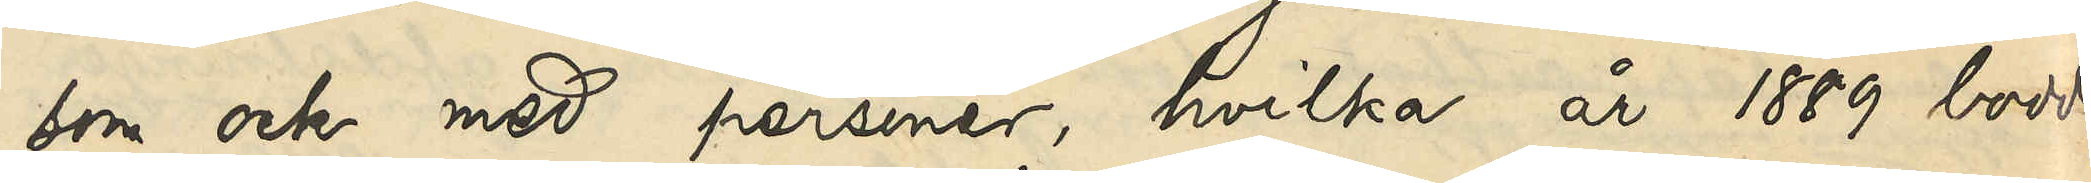som ock med personer, hvilka år 1889 bodde
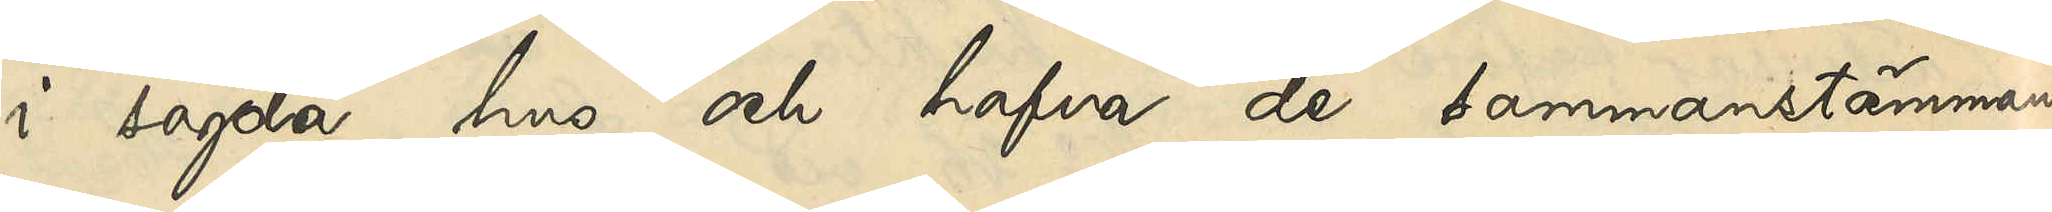i sagda hus och hafva de sammanstämmande
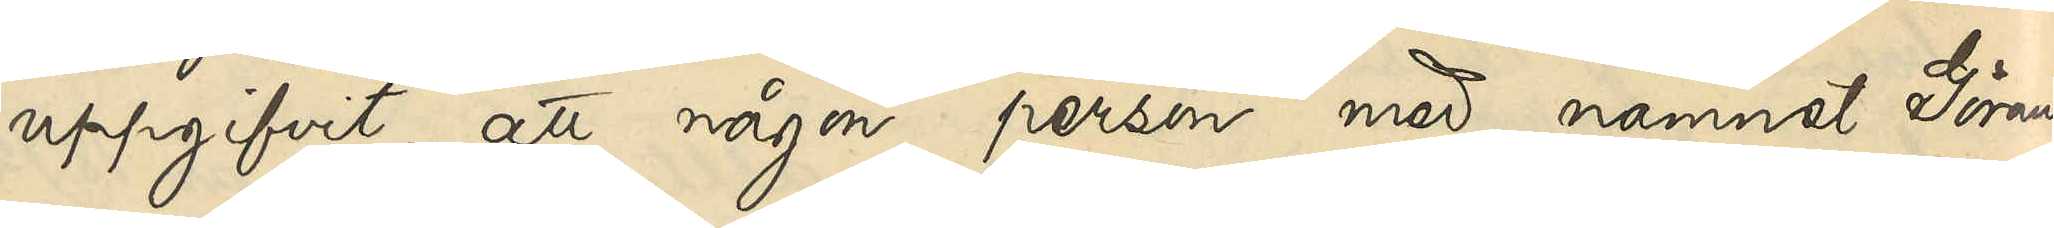uppgifvit, att någon person med namnet Görans¬
